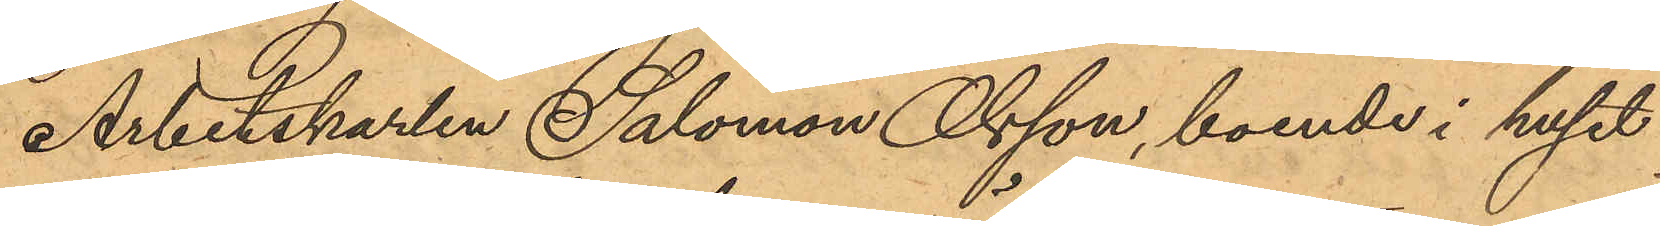Arbetskarlen Salomon Olsson, boende i huset
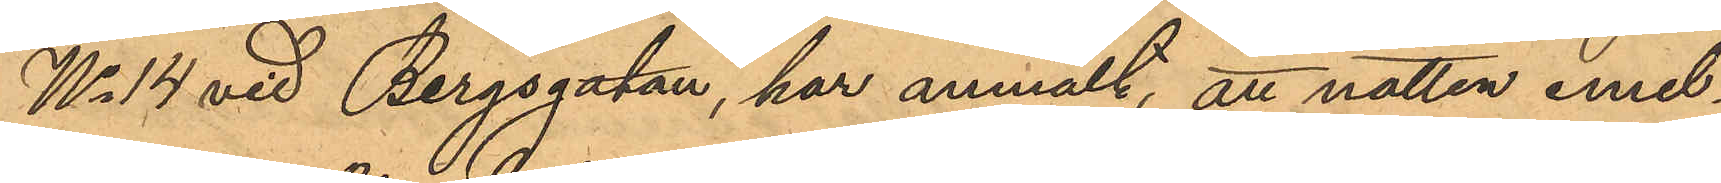No 14 vid Bergsgatan, har anmält, att natten emel¬
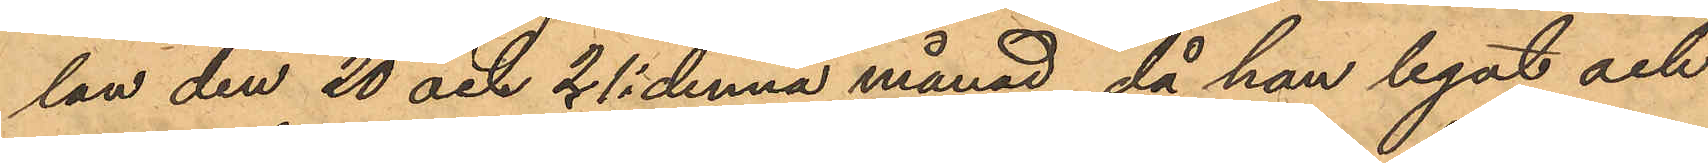lan den 20 och 21 i denna månad, då han legat och
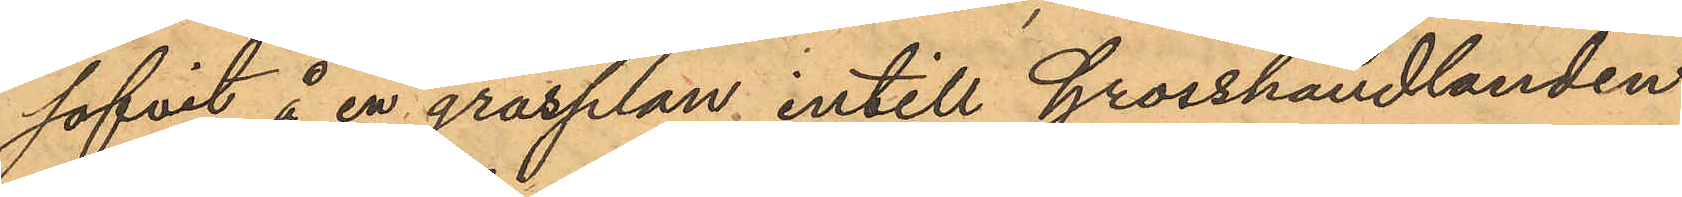sofvit å en grasplan intill Grosshandlanden
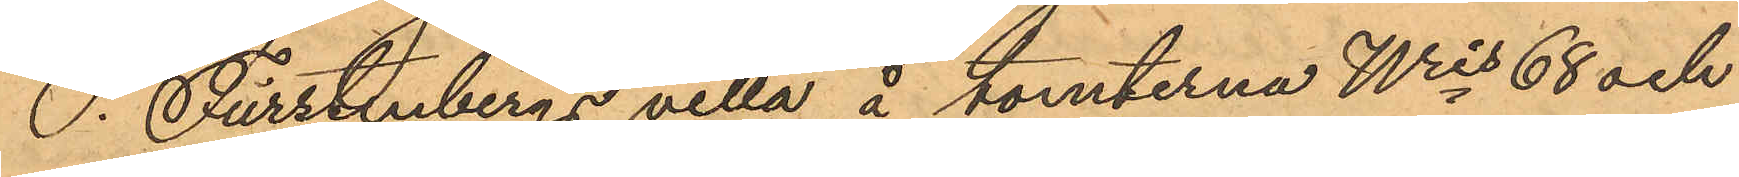S. Furstenbergs villa å tomterna Nris 68 och
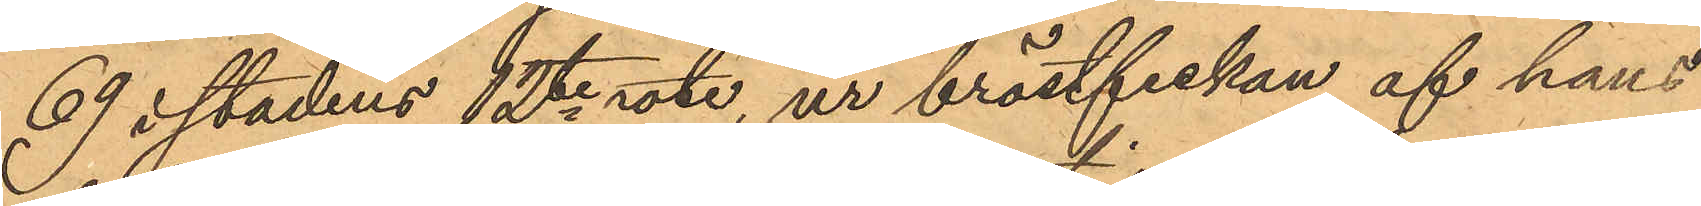69 i stadens 12te rote, ur bröstfiskan af hans
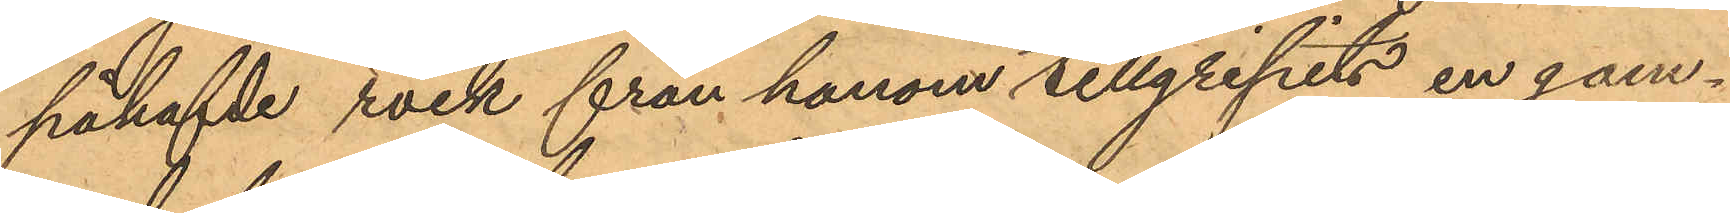påhafde rock från honom tillgripits en gam¬
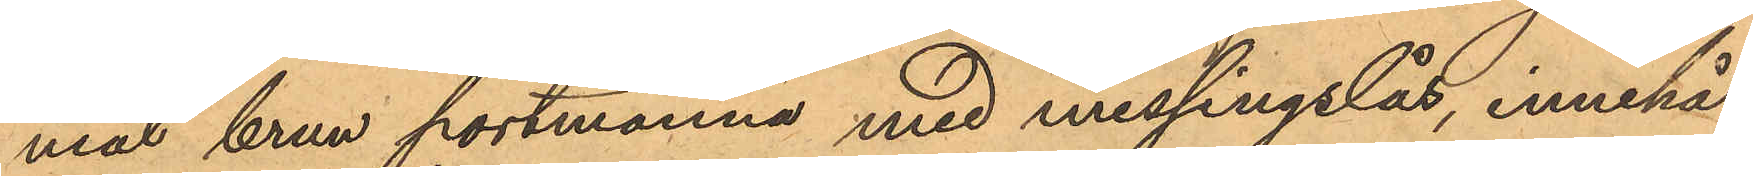mal brun portmonnä med messingslås, innehål¬
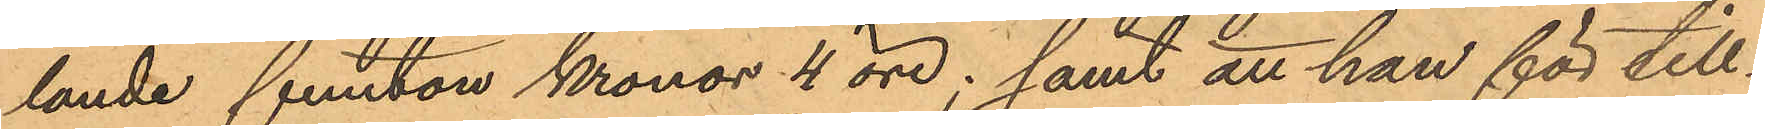lande femton kronor 4 öre; samt att han för till¬
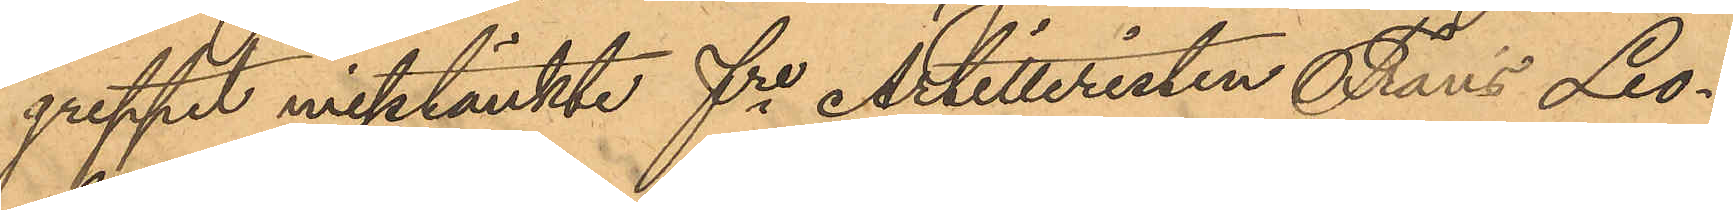greppet misstänkte fre Artilleristen Frans Leo¬
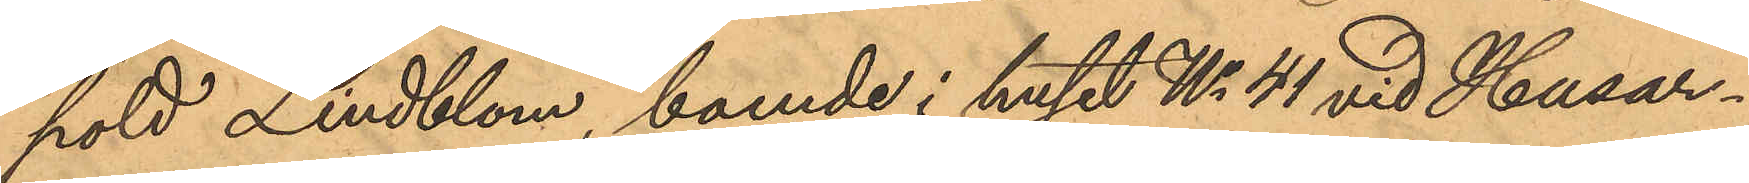pold Lindblom, boende i huset No 41 vid Husar¬
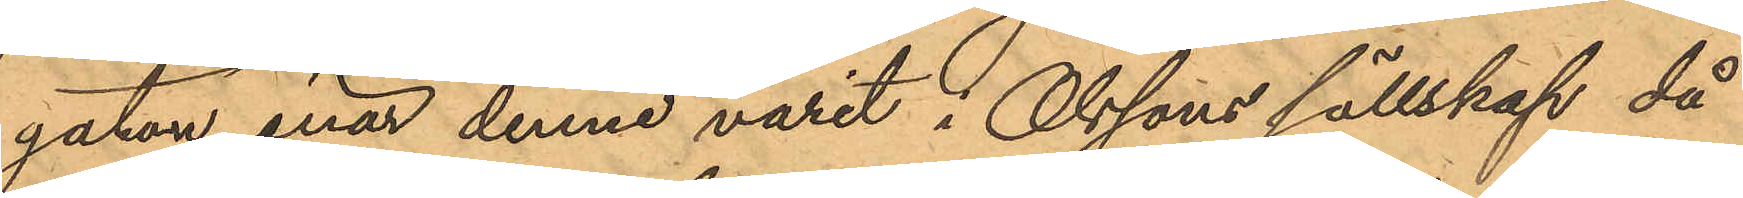gatan enär denne varit i Olssons sällskap då
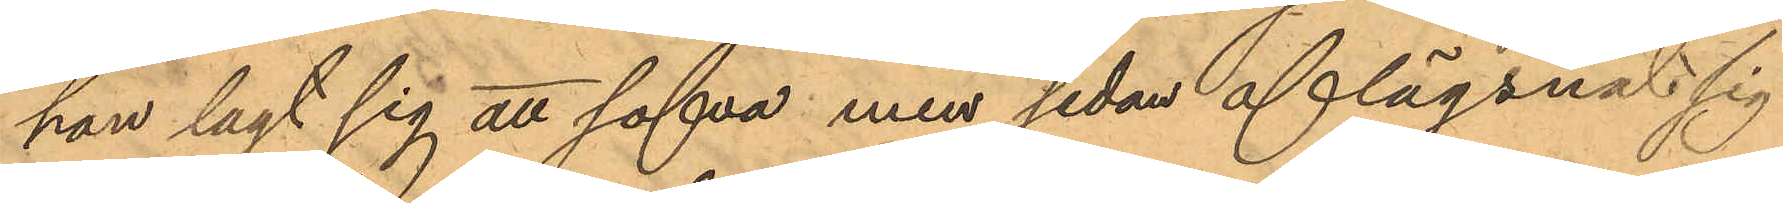han lagt sig att sofva men sedan aflägsnat sig
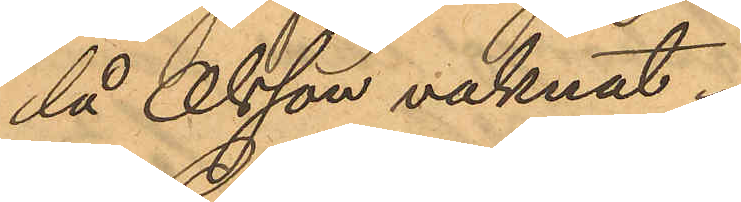då Olsson vaknat.
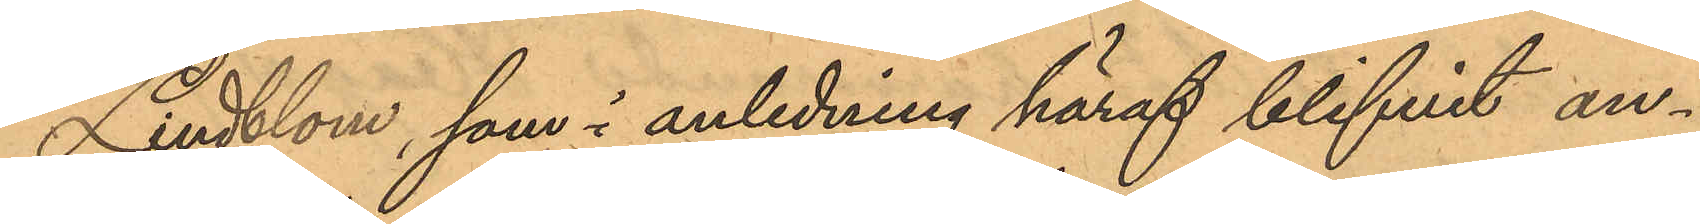Lindblom, som i anledning häraf blifvit an¬
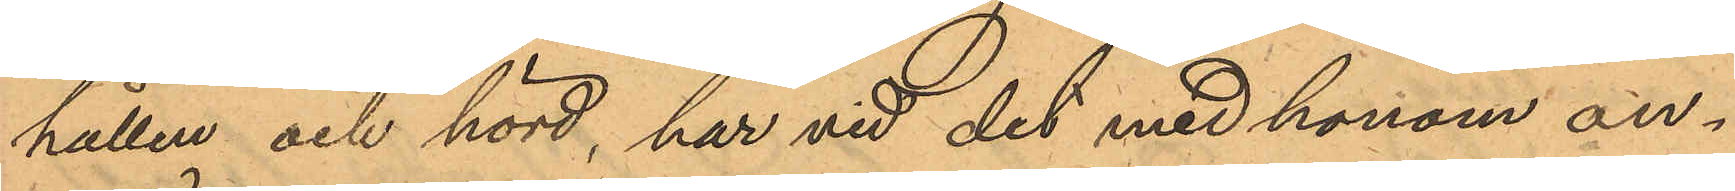hållen och hörd, har vid det med honom an¬
